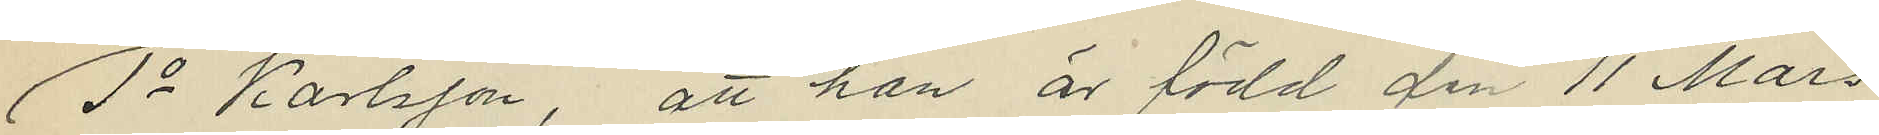1o Karlsson, att han är född den 11 Mars
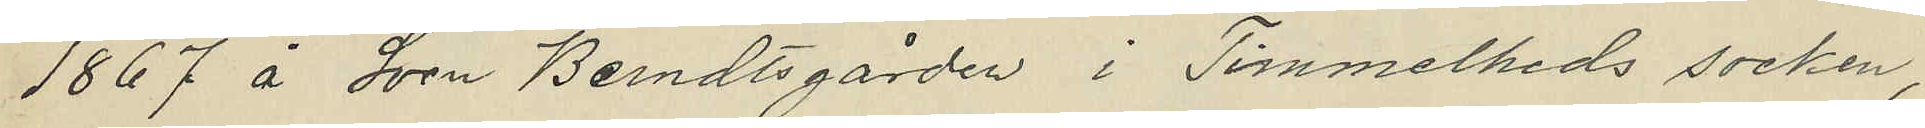1867 å Sven Bendtsgården i Timmelheds socken,
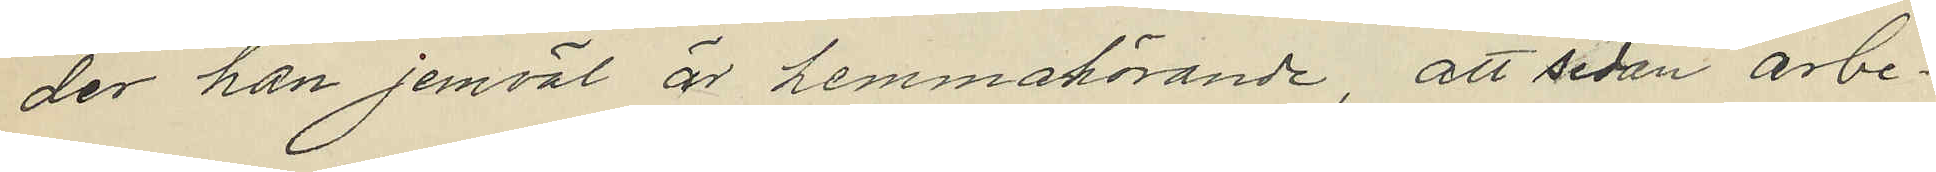der han jemväl är hemmahörande, att sedan arbe¬
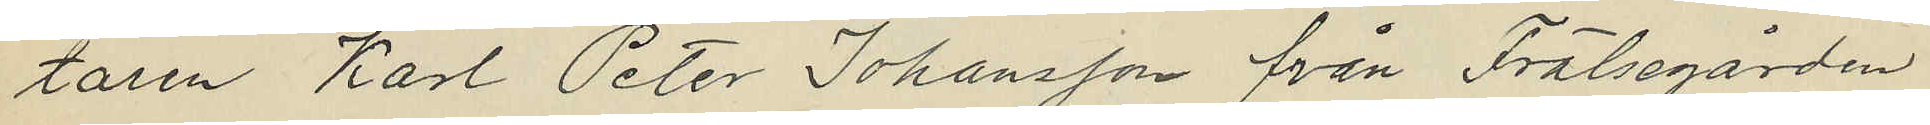taren Karl Peter Johansson från Frälsegården
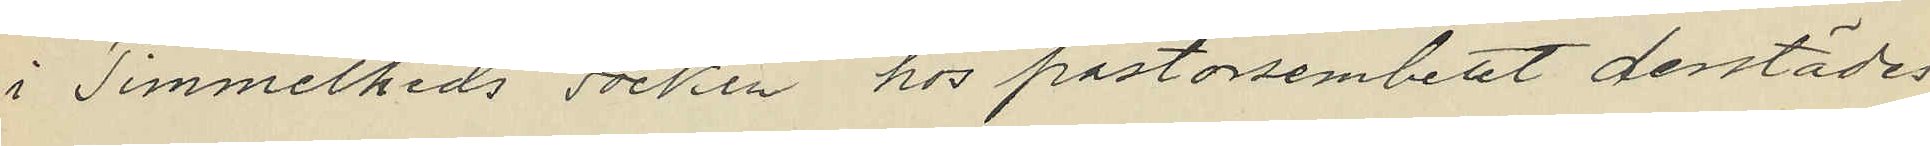i Timmelheds socken hos pastorsembetet derstädes
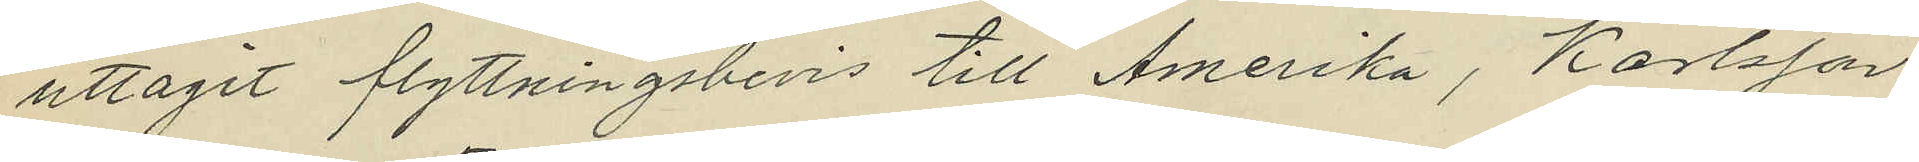uttagit flyttningsbevis till Amerika, Karlsson
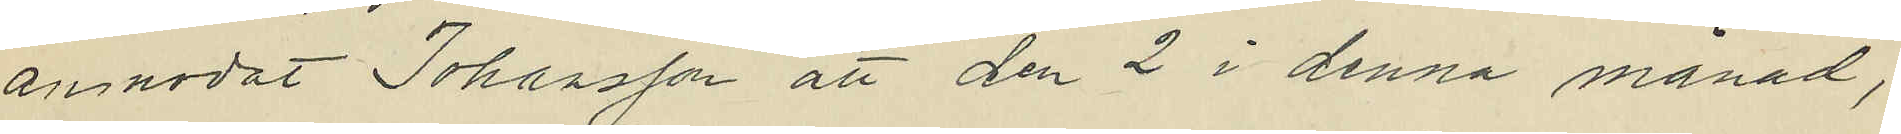anmodat Johansson att den 2 i denna månad,
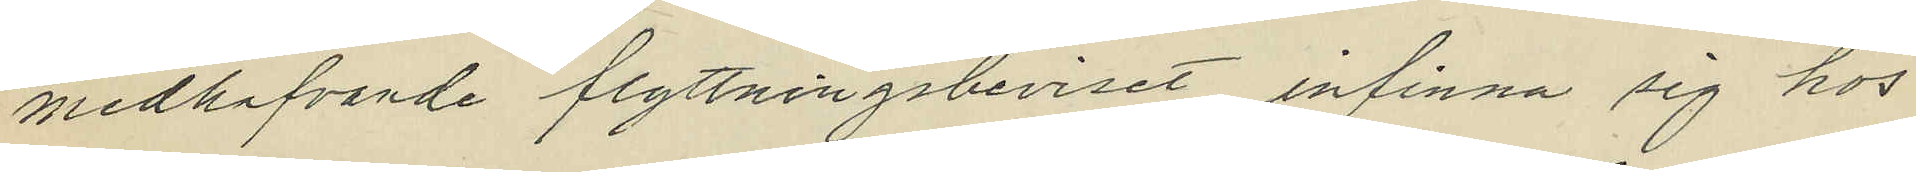medhafvande flyttningsbeviset, infinna sig hos
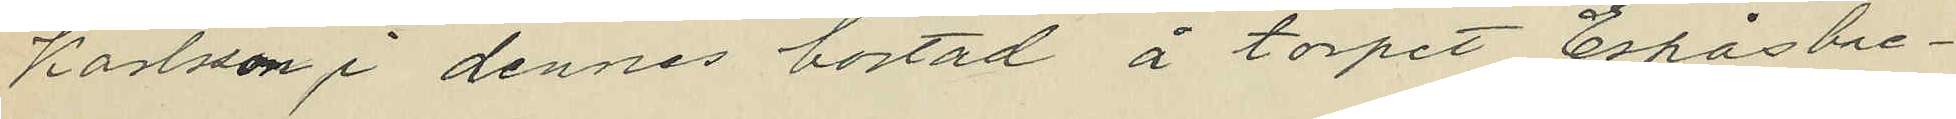Karlsson i dennes bostad å torpet Espåsbre¬
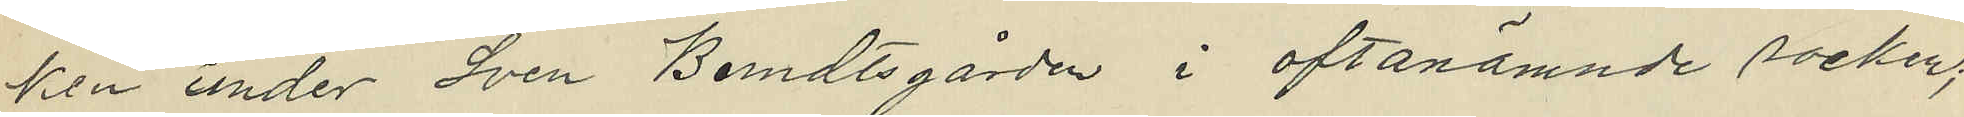ken under Sven Berndtsgården i oftanämnde socken;
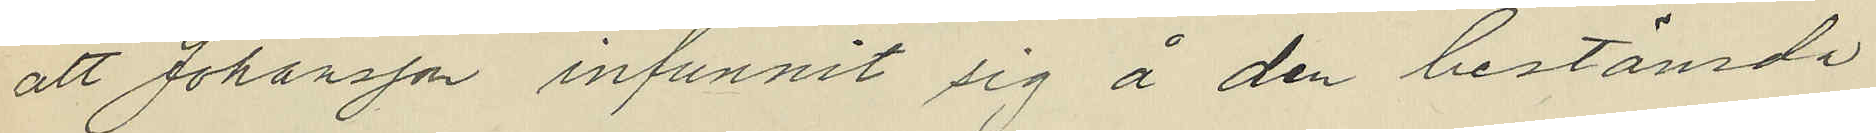att Johansson infunnit sig å den bestämda
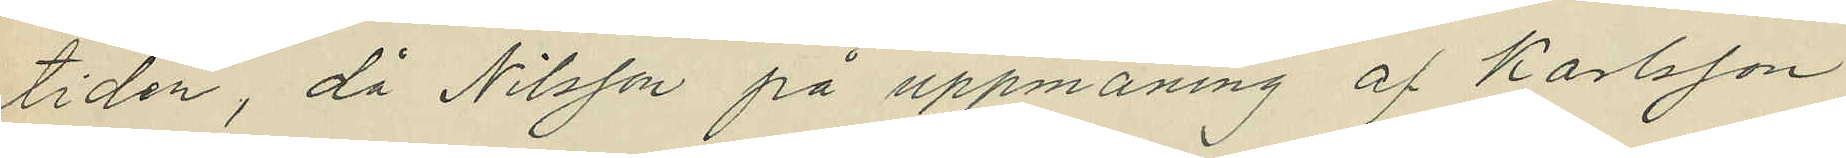tiden, då Nilsson på uppmaning af Karlsson
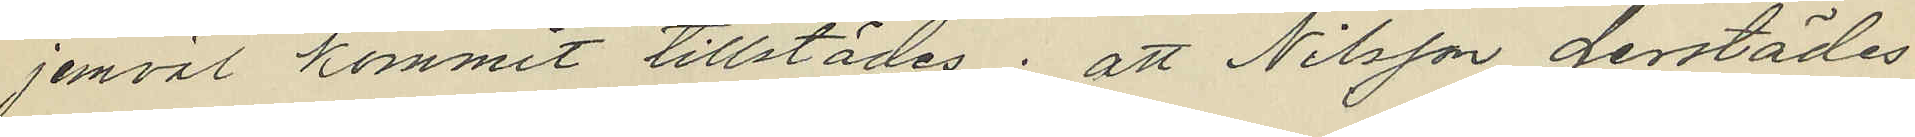jemväl kommit tillstädes; att Nilsson derstädes
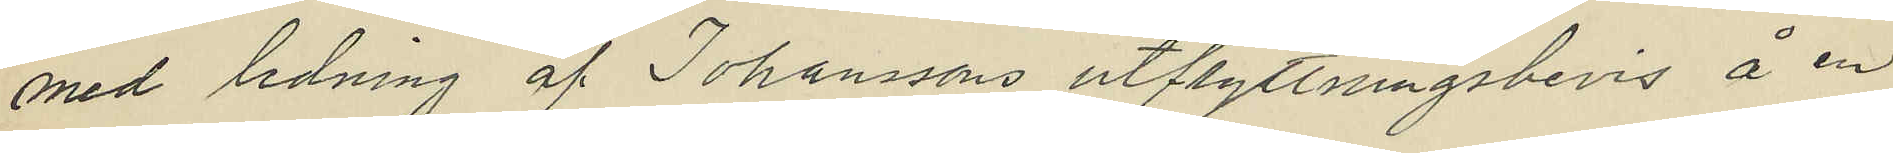med ledning af Johanssons utflyttningsbevis å en
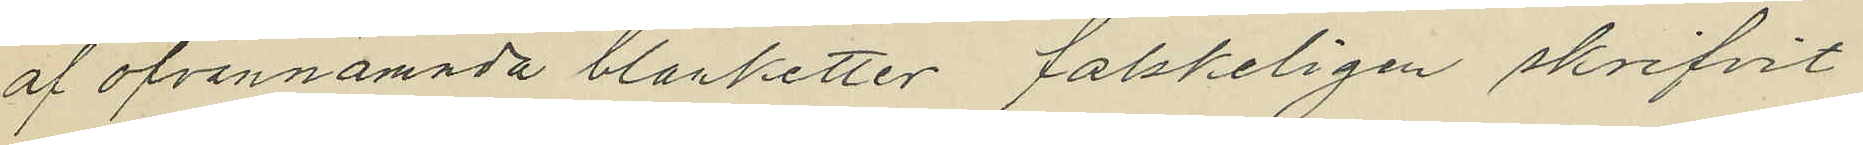af ofvannämnda blanketter falskeligen skrifvit
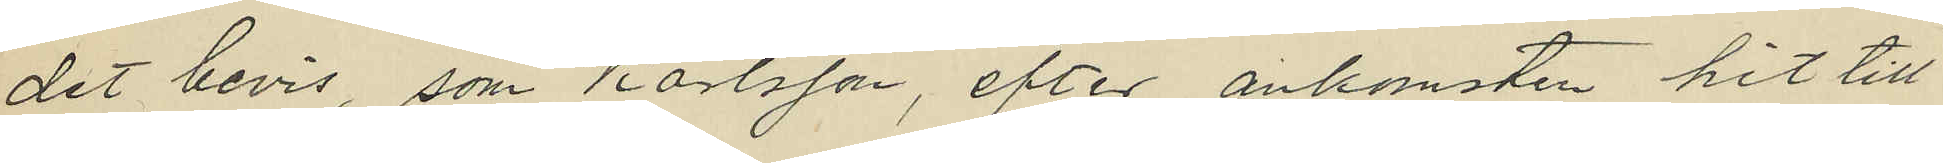det bevis, som Karlsson, efter ankomsten hit till
